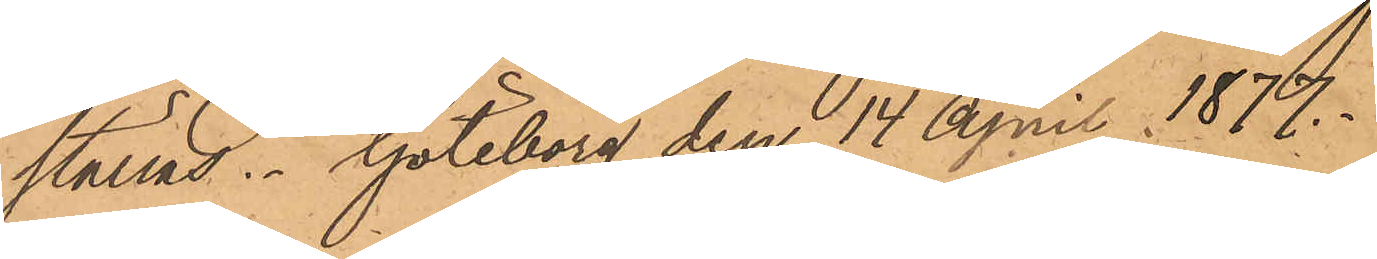ställas. Göteborg den 14 April 1877.
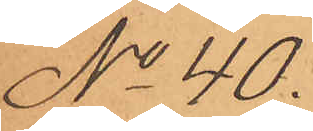No 40.
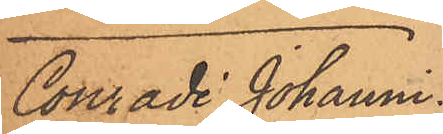Conradi Johanni
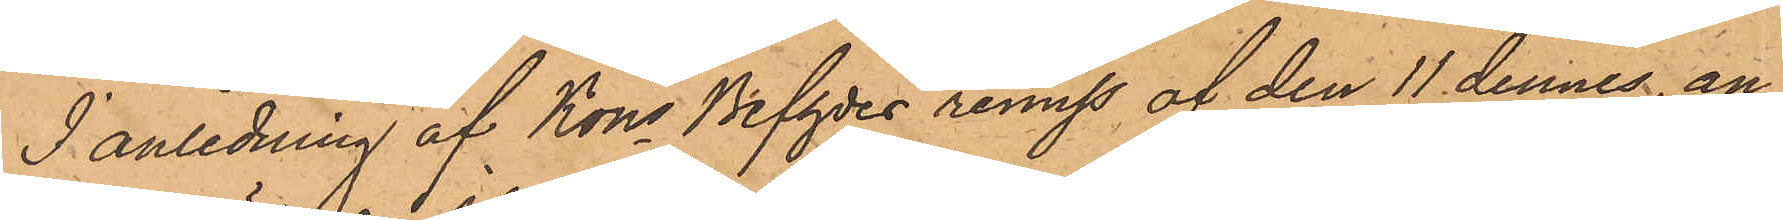I anledning af Kons Befhdes remiss af den 11 dennes, an¬
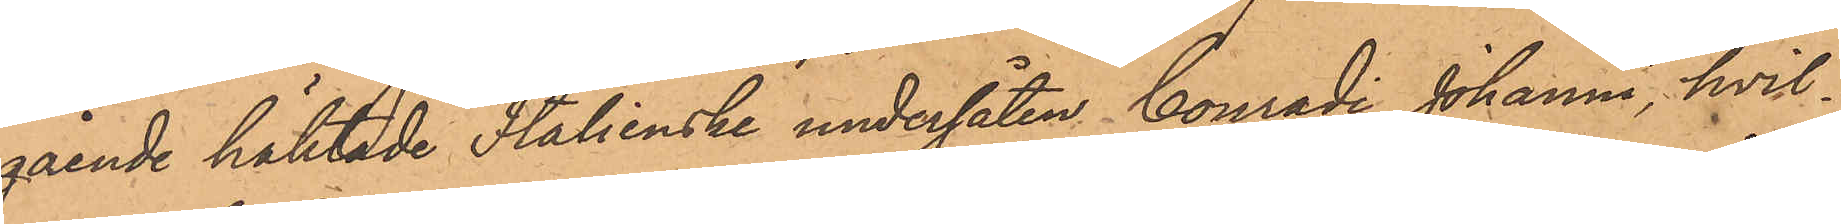gående häktade Italienske undersåten Conradi Johanni, hvil¬
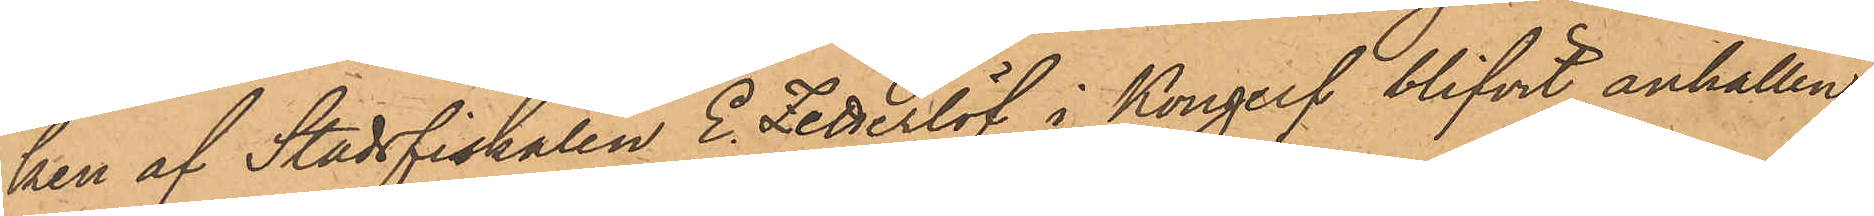ken af Stadsfiskalen E. Zetterlöf i Kongelf blifvit anhållen
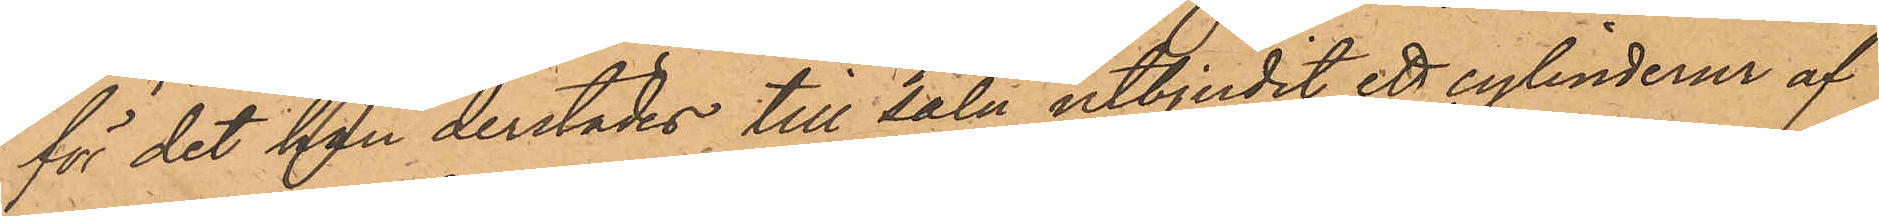för det han derstädes till salu utbjudit ett cylinderur af
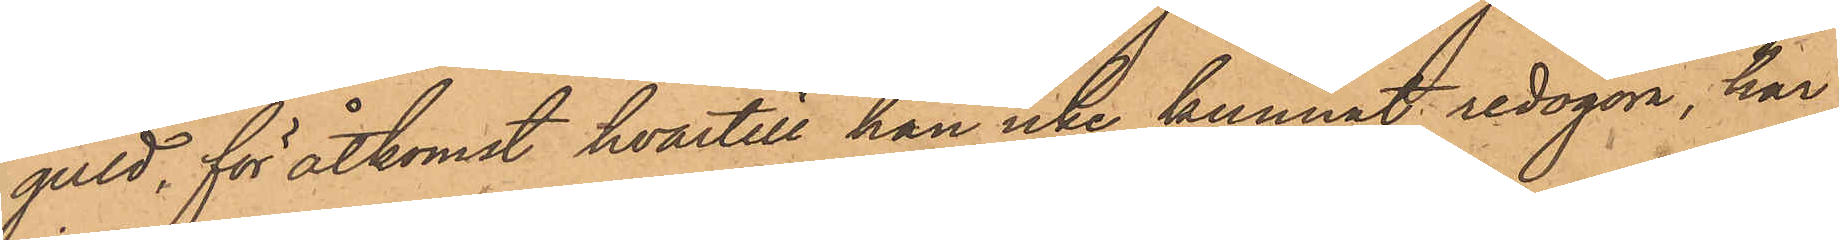guld, för åtkomst hvartill han icke kunnat redogöra, har
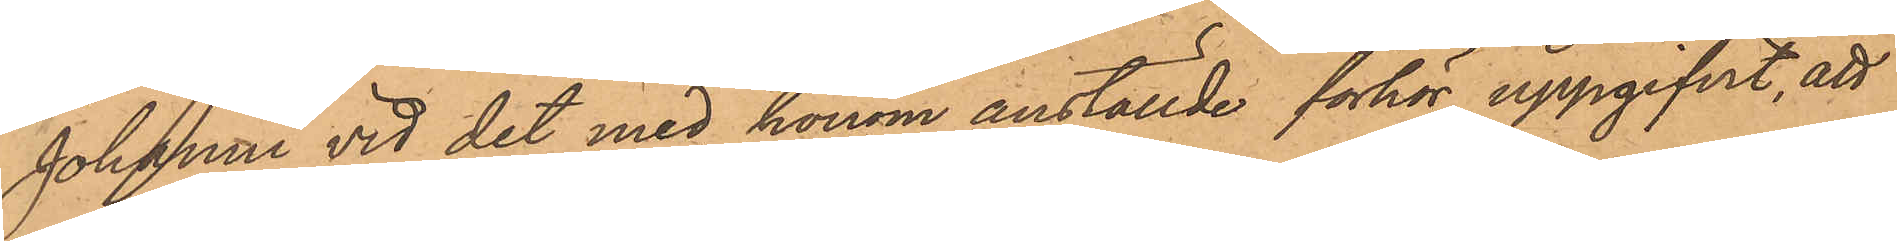Johanni vid det med honom anställde förhör uppgifvit, att
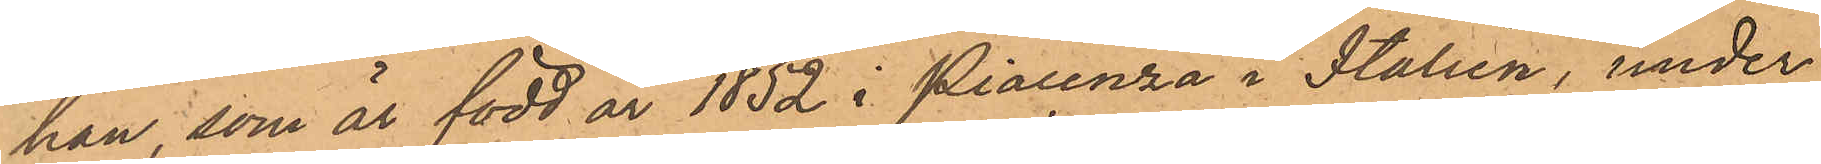han, som är född år 1852 i Piacenza i Italien, under
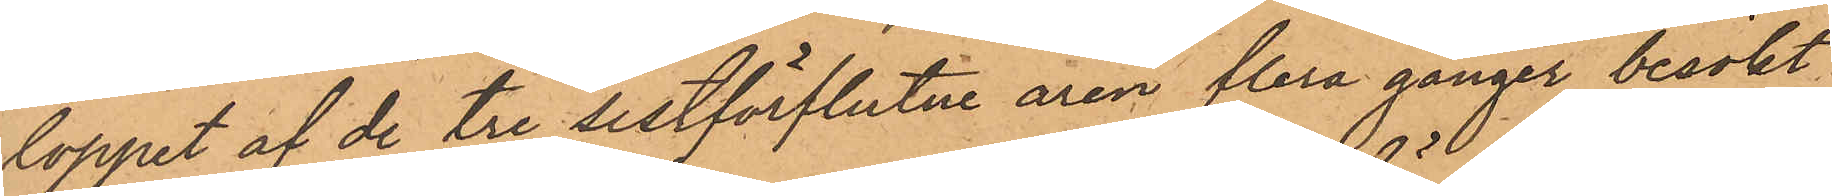loppet af de tre sistförflutne åren flera gånger besökt
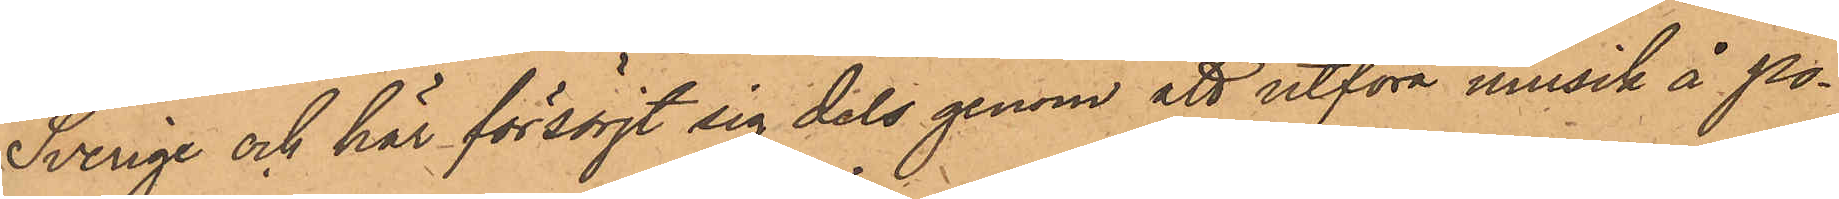Sverige och här försörjt sig dels genom att utföra musik å po¬
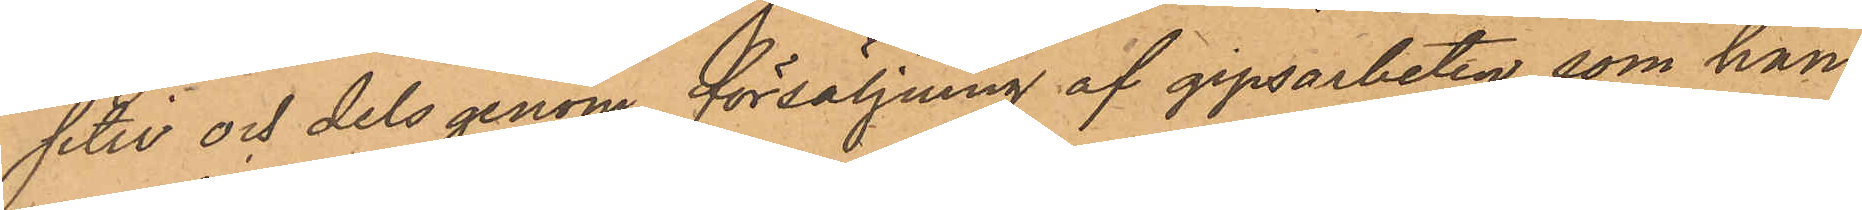sitiv och dels genom försäljning af gipsarbeten, som han
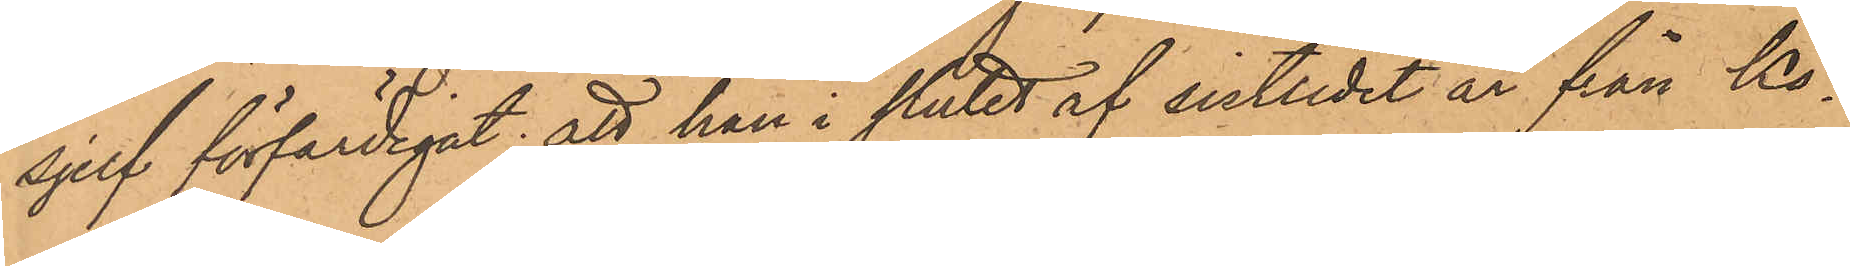sjelf förfärdigat, att han i slutet af sistlidet år från Kö¬
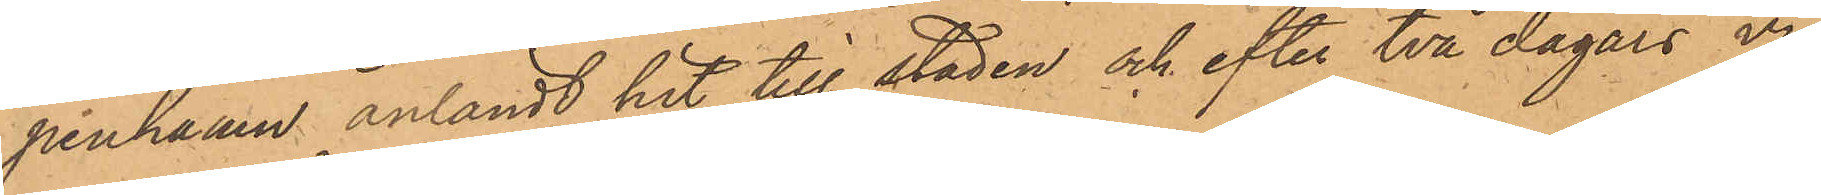penhamn anländt hit till staden och efter två dagars vi¬
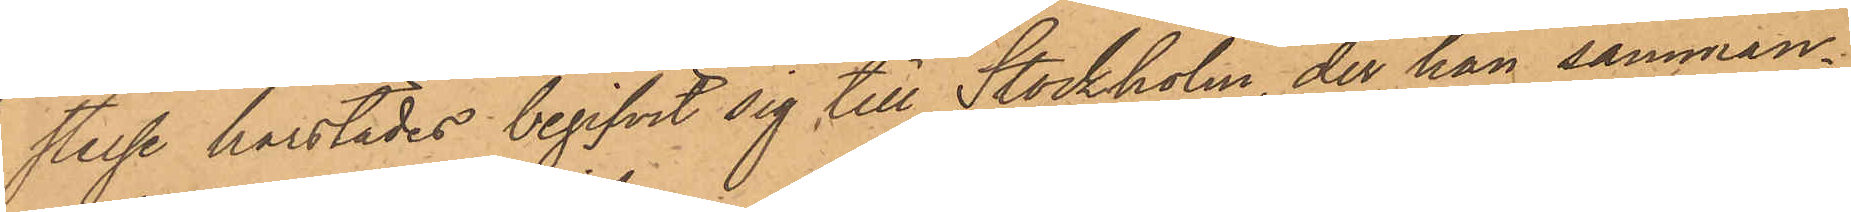stelse härstädes begifvit sig till Stockholm, der han samman¬
